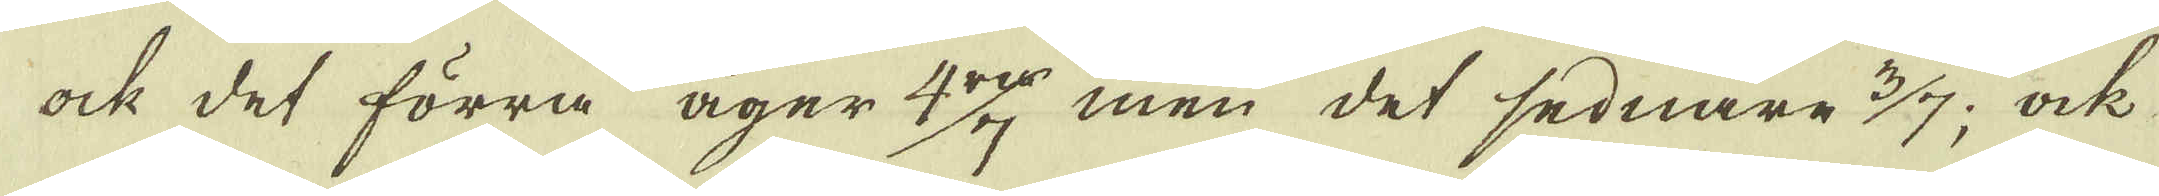ock det förra äger 4:ra/7 men det sednare 3/7; ock
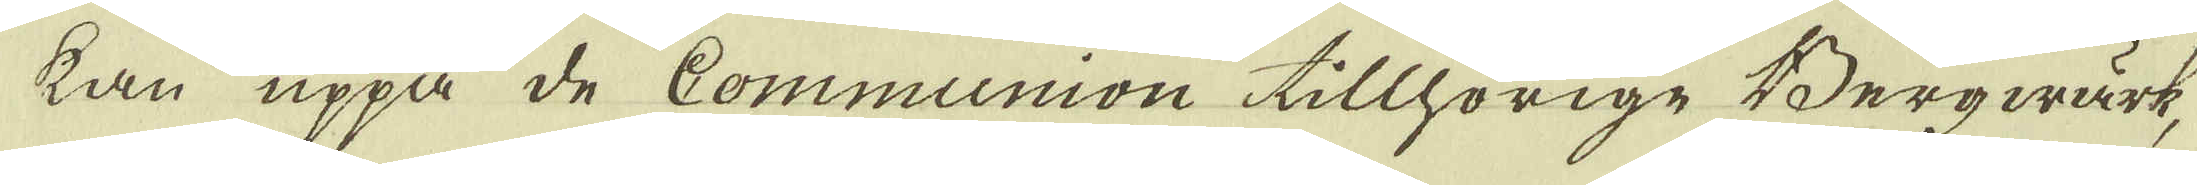kan uppå de Communion tillhörige Bergwärk,
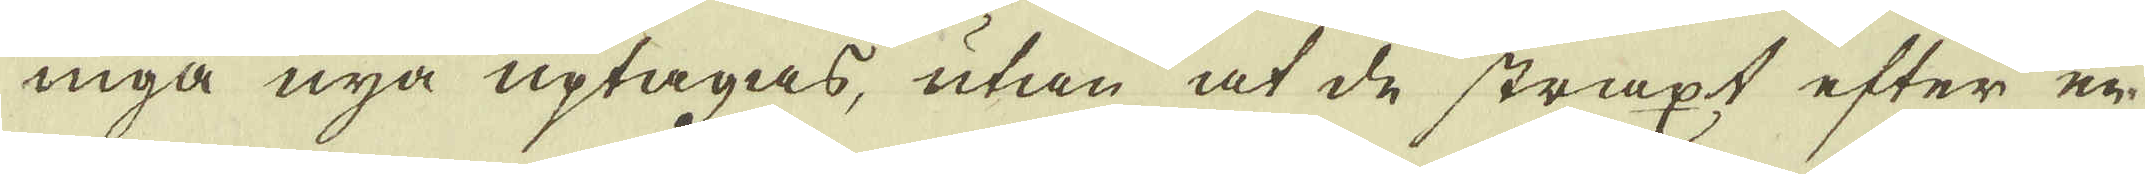inga nya uptagas, utan at de straxt efter en
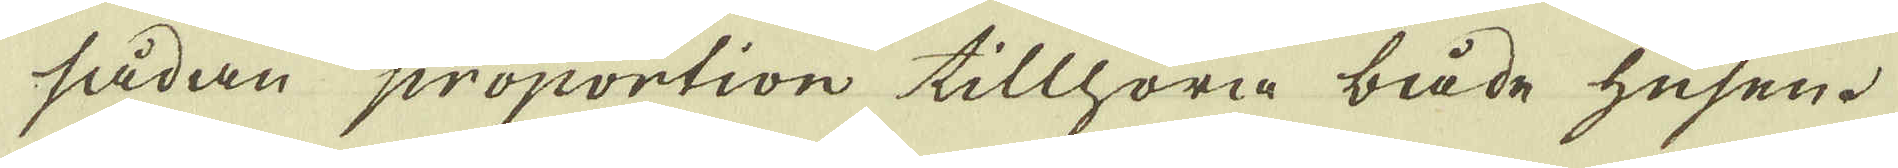sådan proportion tillhöra både husen.
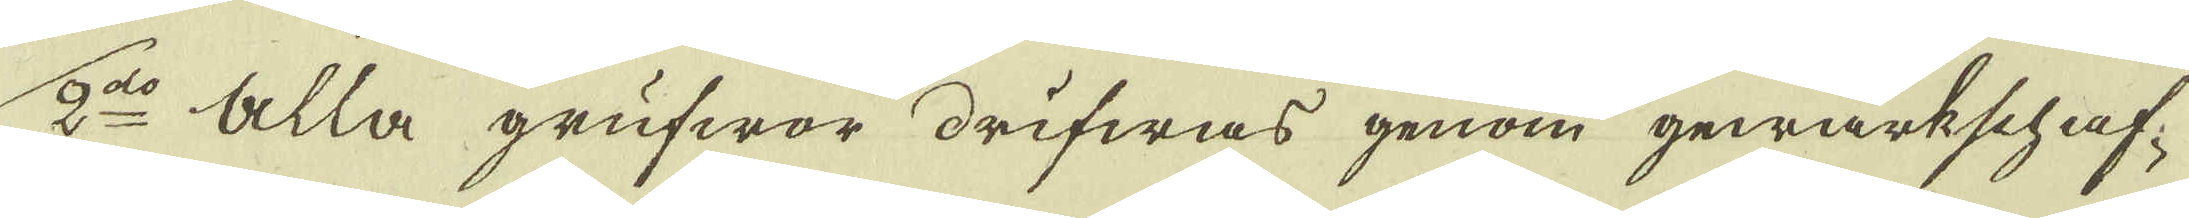2:o Alla grufwor drifwas genom gewärkschaf-
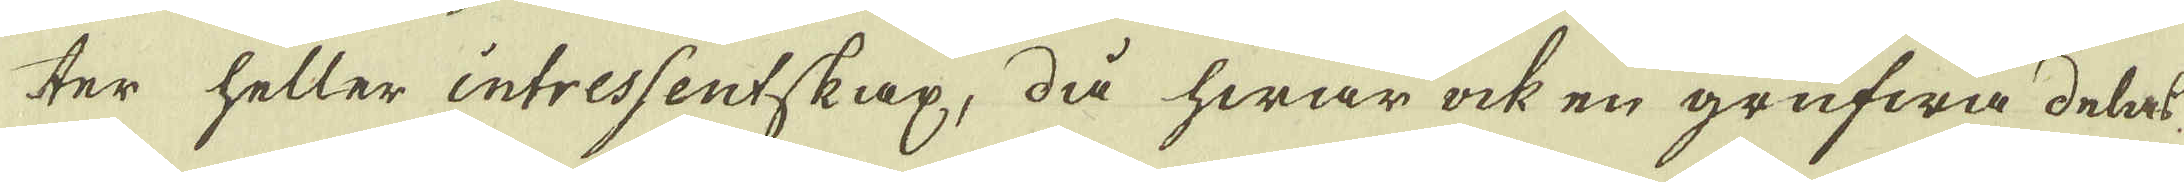ter heller intressentskap, då hwar ock en grufwa dels
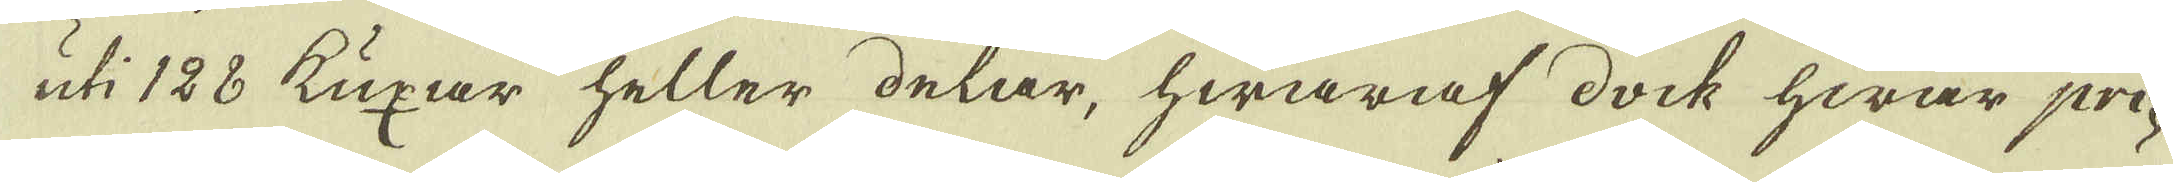uti 128 kuxar heller delar, hwaraf dock hwar pri-
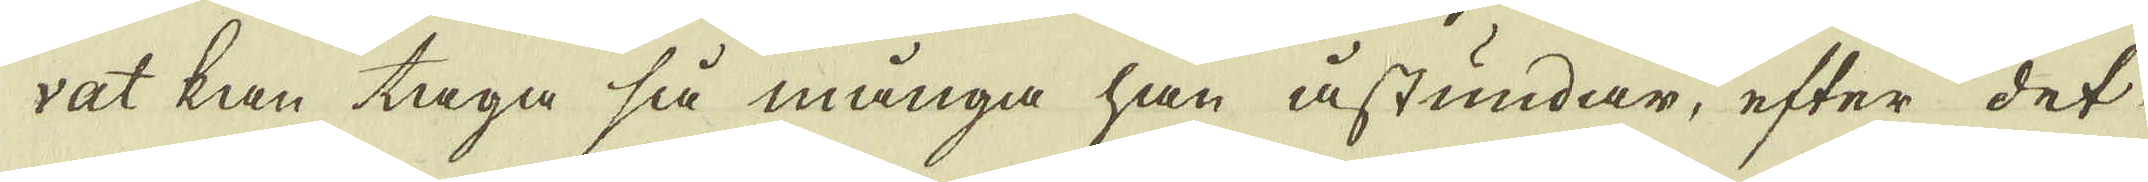vat kan taga så många han åstundar, efter det
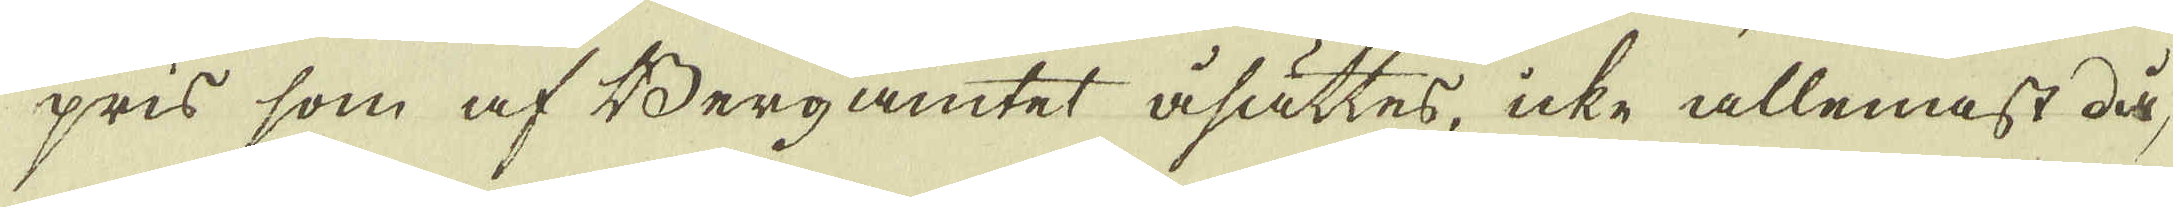pris som af Bergamtet åsättes, icke allenast då,
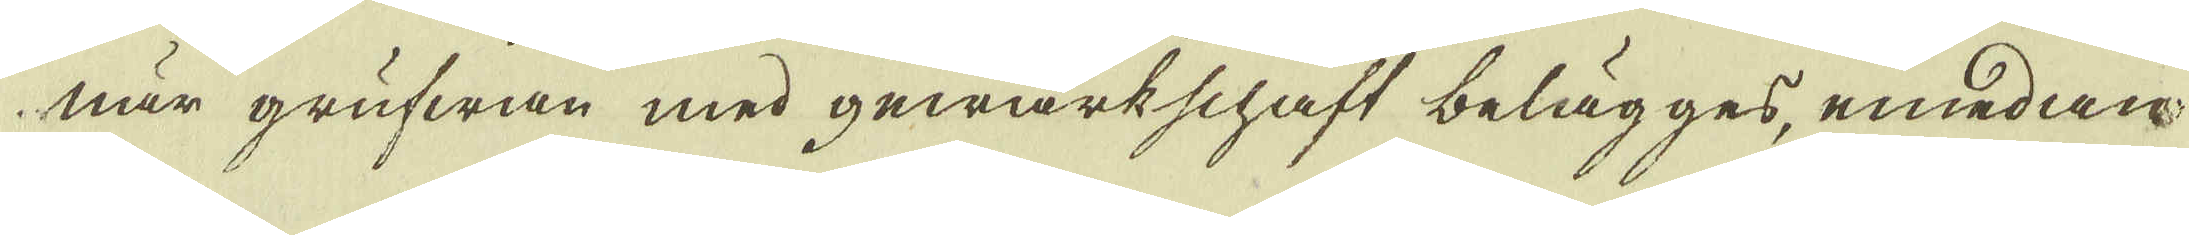när grufwan med gewärkschaft belägges, emedan
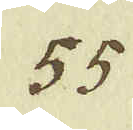55.
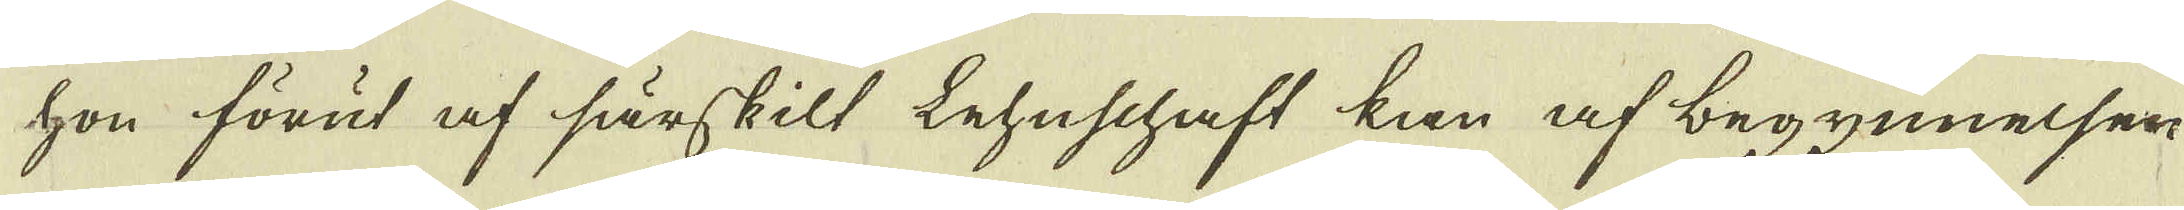hon förut af särskilt tehuschaft kan af begynnelsen
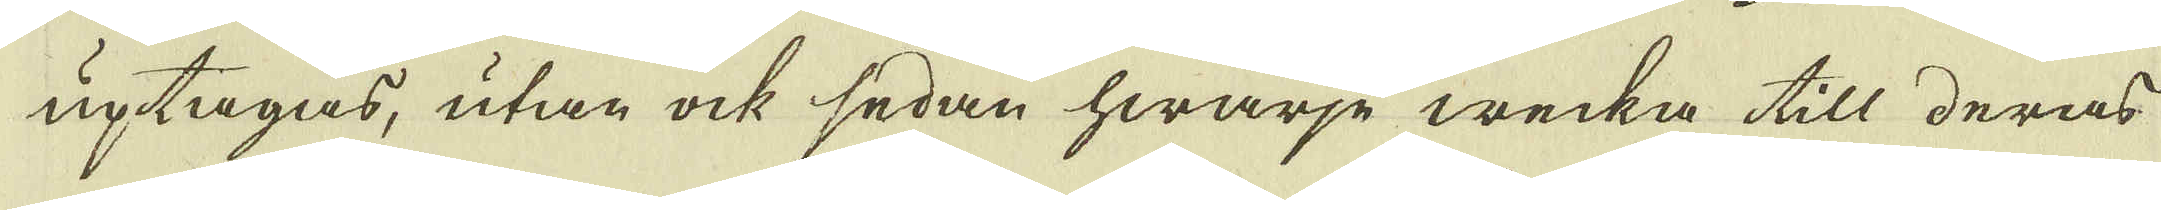uptagas, utan ock sedan hwarje wecka till deras
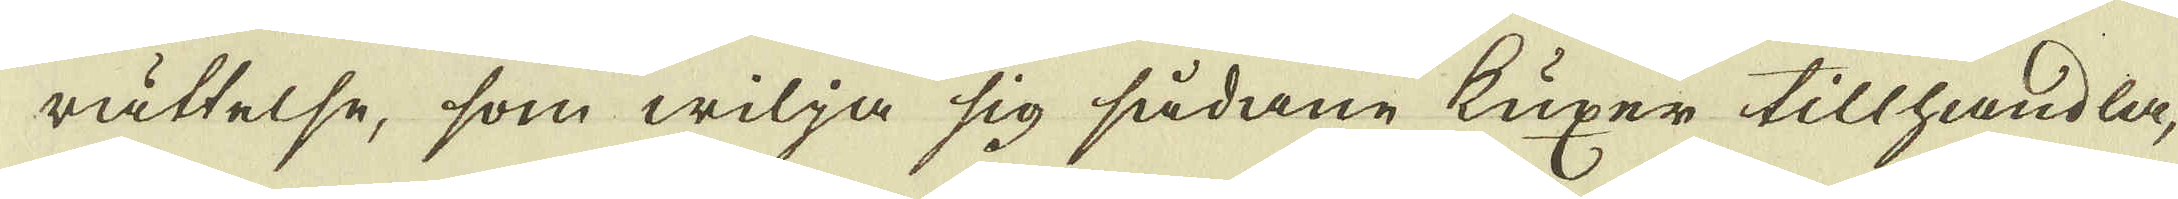rättelse, som wilja sig sådane kuxer tillhandla,
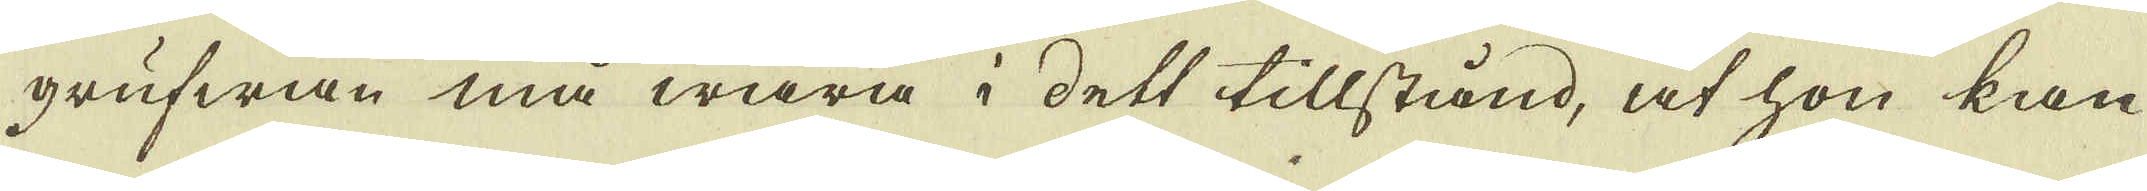grufwan må wara i dett tillstånd, at hon kan
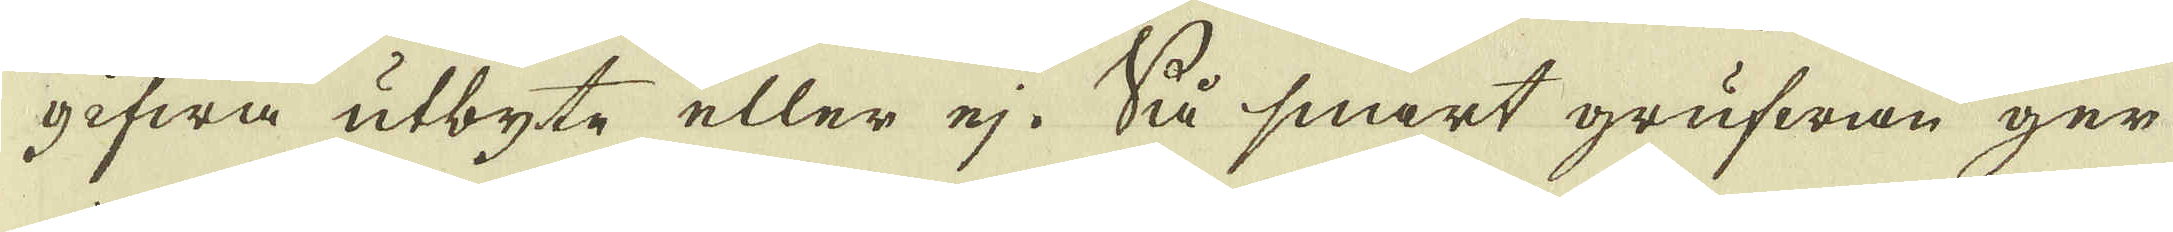gifwa utbyte eller ej. Så snart grufwan ger
